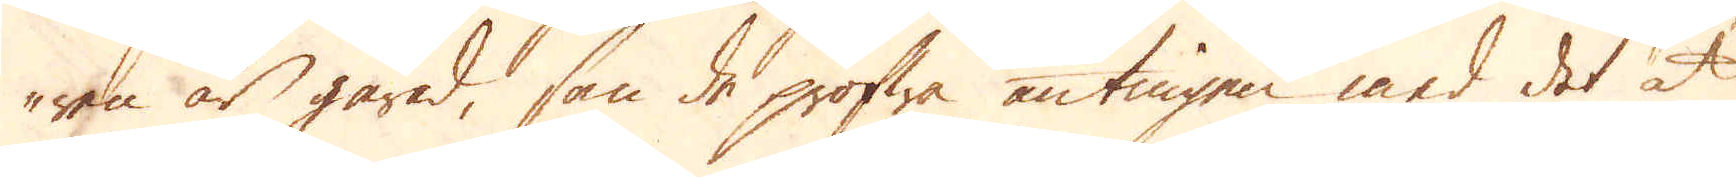ren är gård, som de profwa antingen med det at
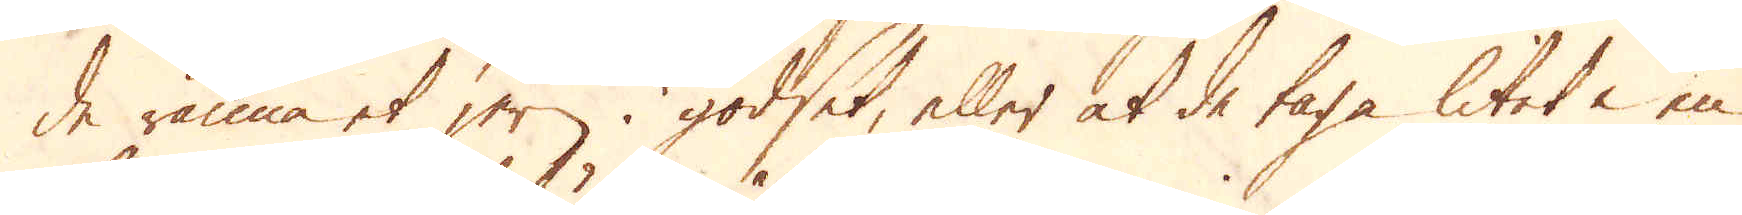de ränna et jern i godset, eller at de taga litet i en
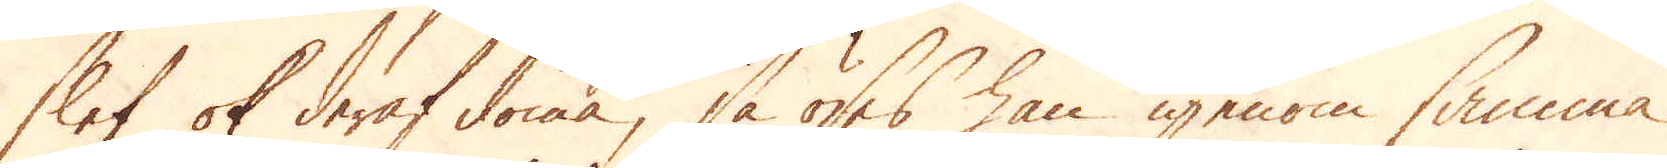slef ok deraf döma, så öses han igenom samma
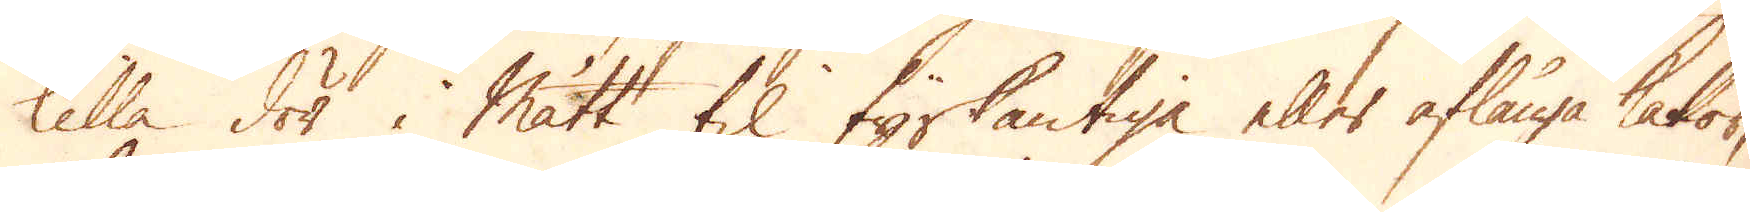kalla dör i mått til fyrkantiga eller aflånga kakor,
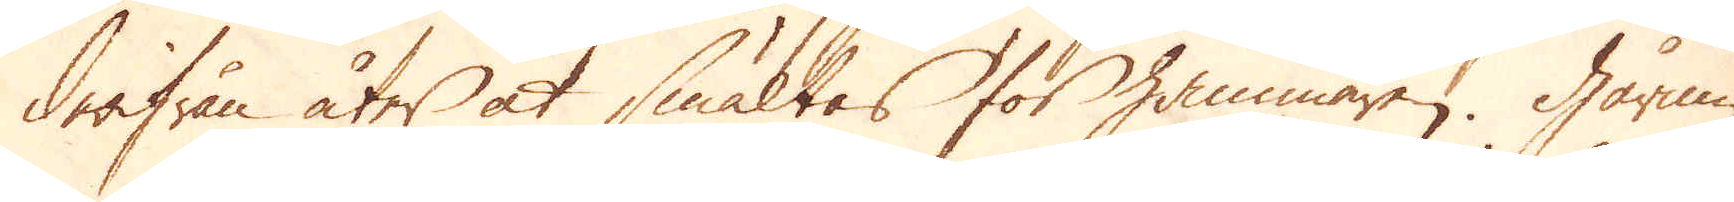derifrån åter at smältas för hammaren. Gårnin-
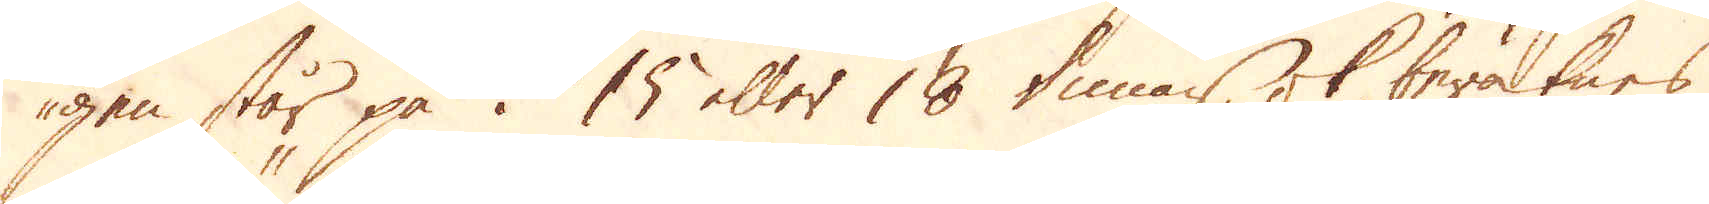gen står på i 15 eller 18 timar, ok beräknes
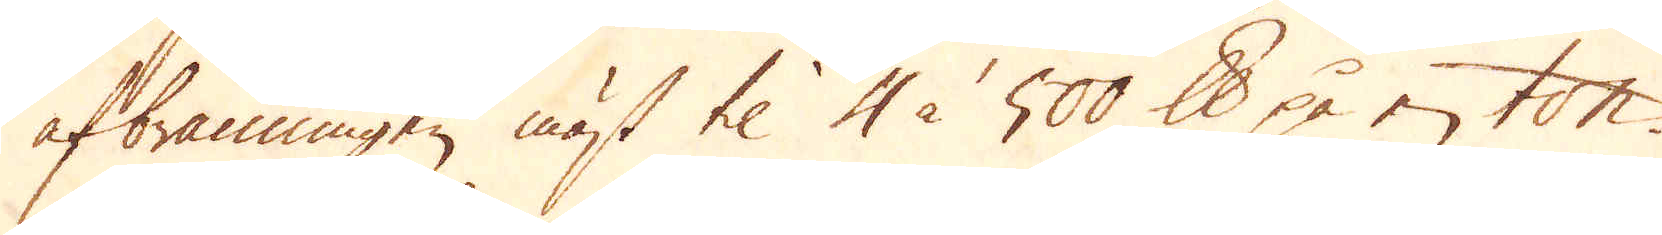afbränningen mäst til 4 à 500 skålpund på en ton.
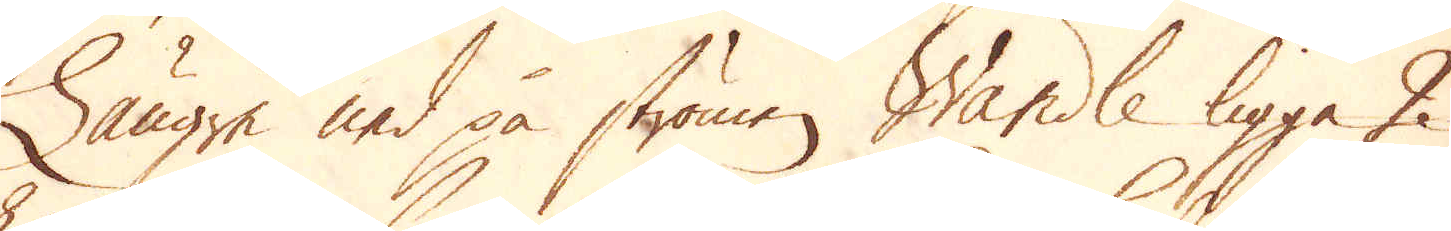Längre ned på strömen Wandle ligga 2
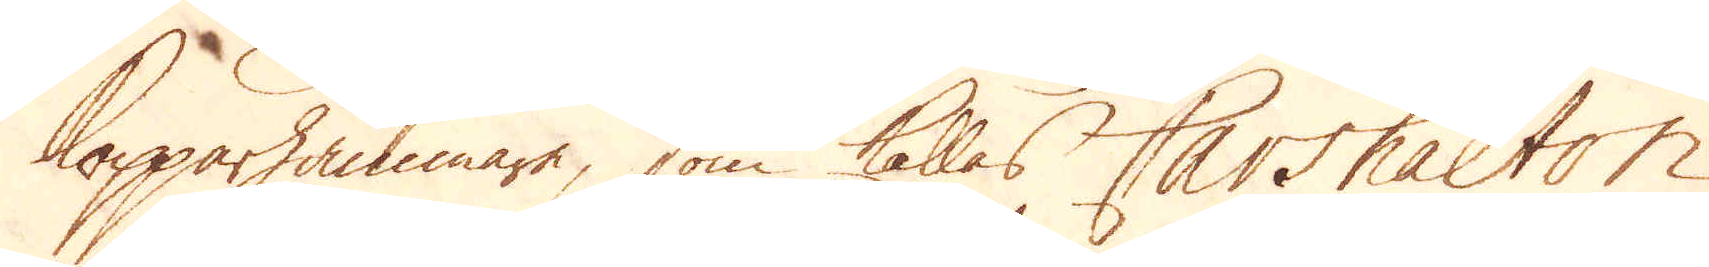kopparhammare, som kallas Carshalton,
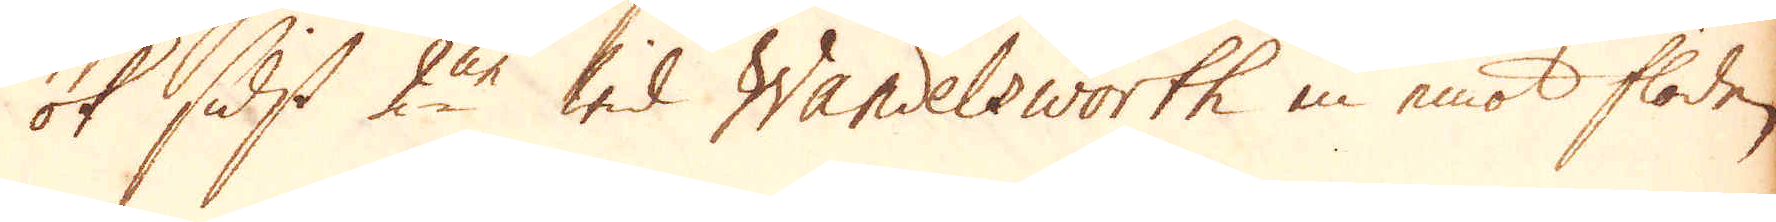ok sidst 2ne wid Wandelsworth in emot floden
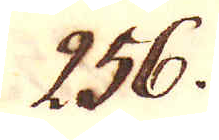256.
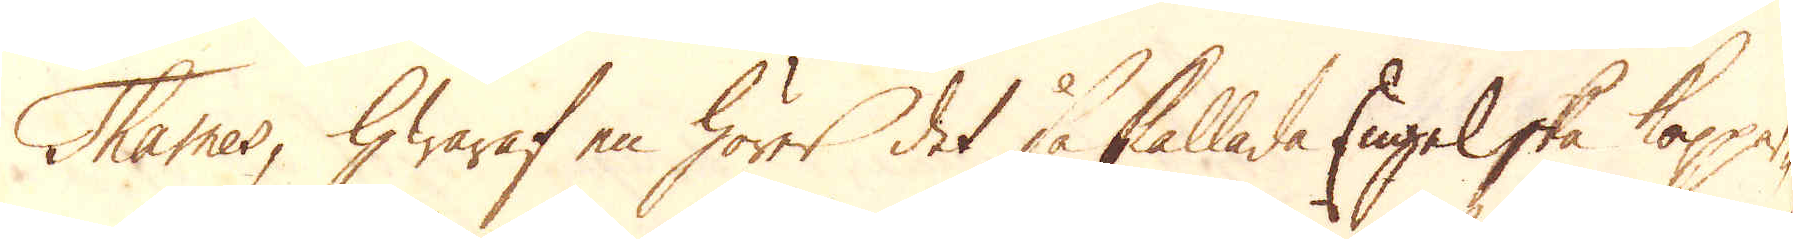Thames, hwaraf en hörer det så kallade Engelske koppar-
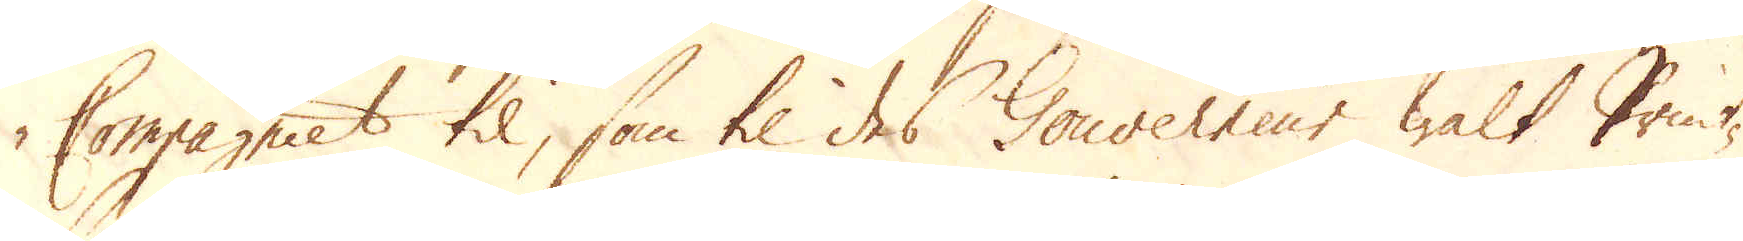Compagniet til, som til des Gouverneur walt Print-
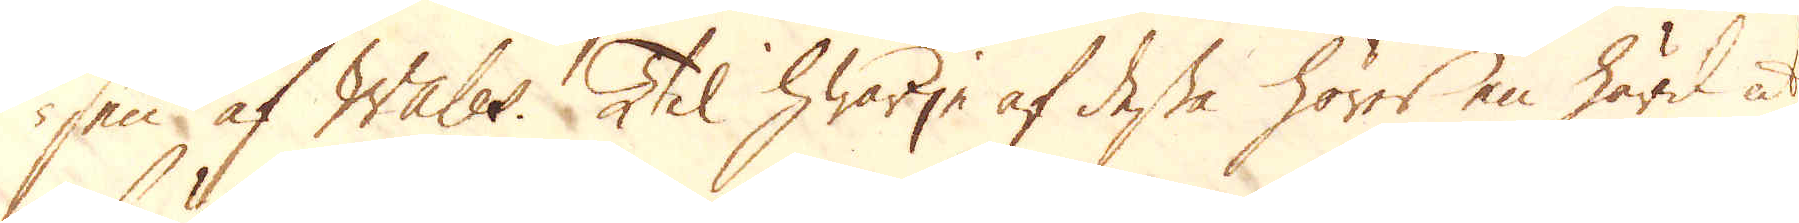sen af Wales. Til hwarje af dessa hörer en härd at
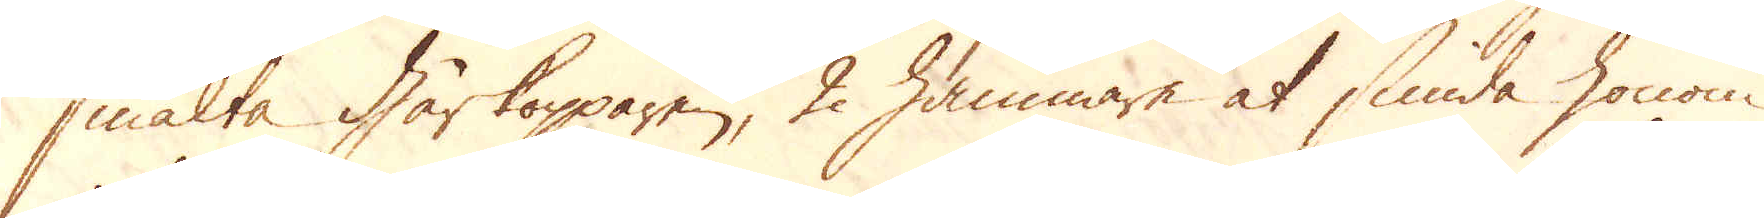smälta Gårkopparen, 2 hammare at smida honom
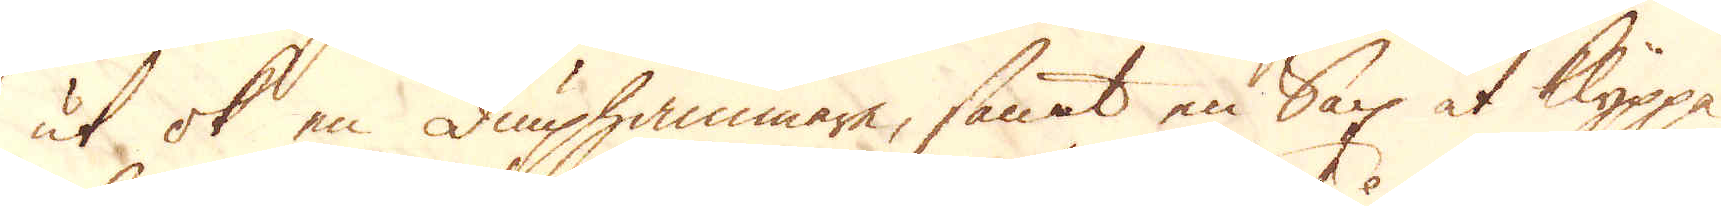ut ok en diuphammare, samt en Sax at klippa
